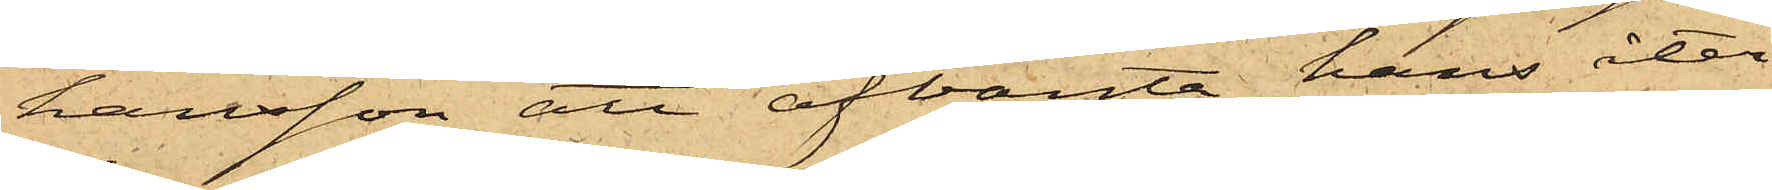hansson att afvänta hans åter¬
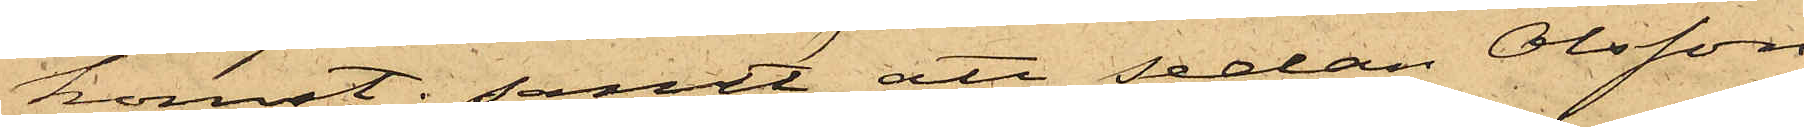komst; samt att sedan Olsson
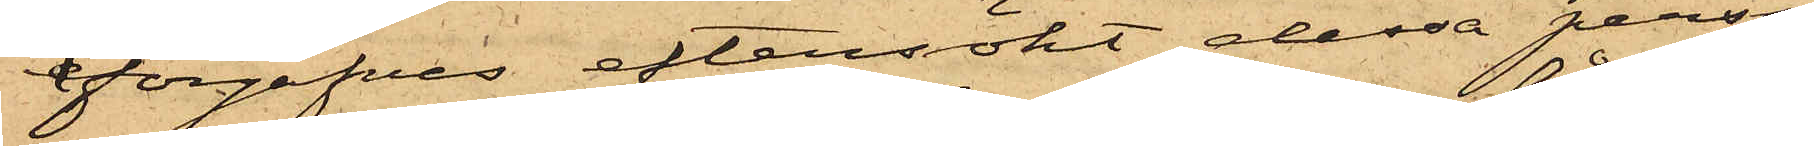förgäfves eftersökt dessa perso¬
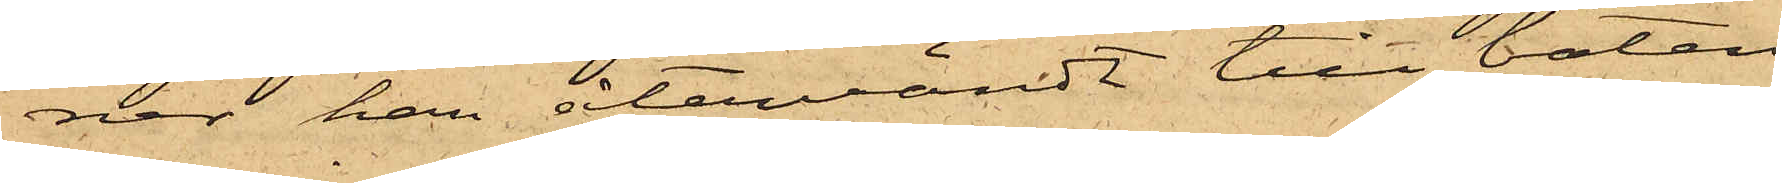ner han återvändt till båten,
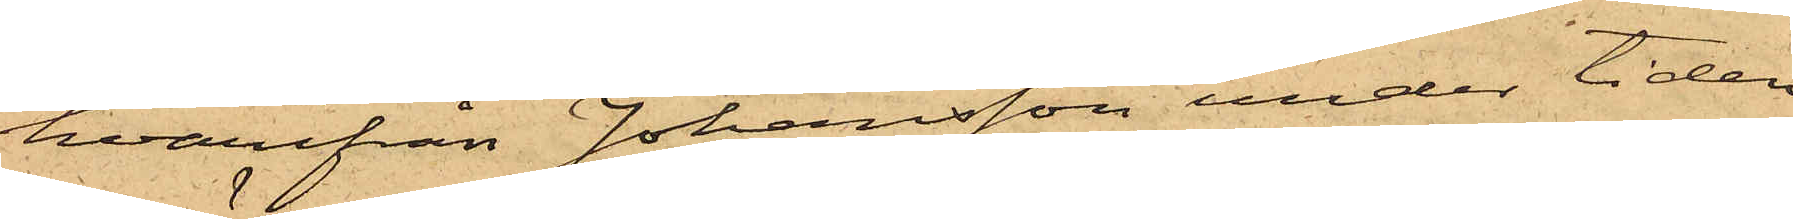hvarifrån Johansson under tiden
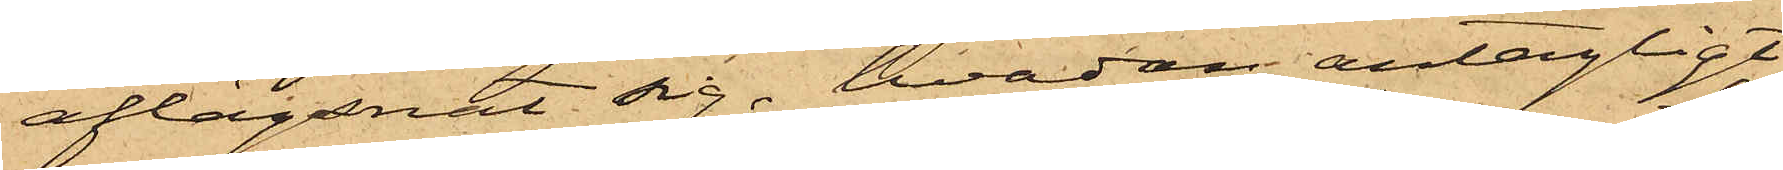aflägsnat sig, hvadan antagligt
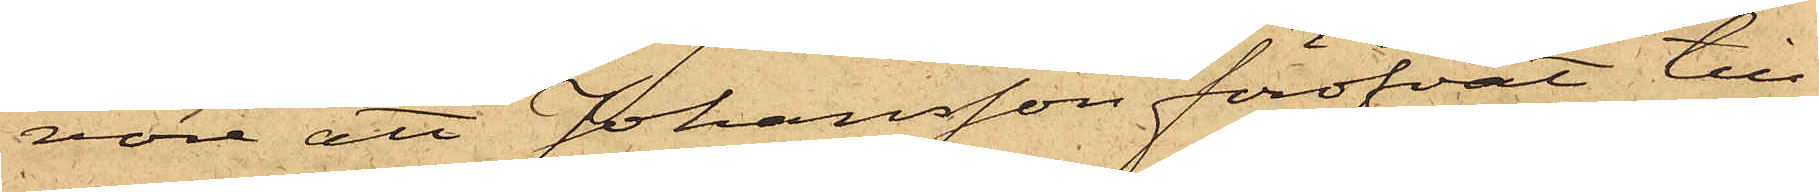vore att Johansson föröfvat till¬
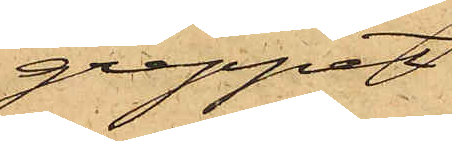greppet
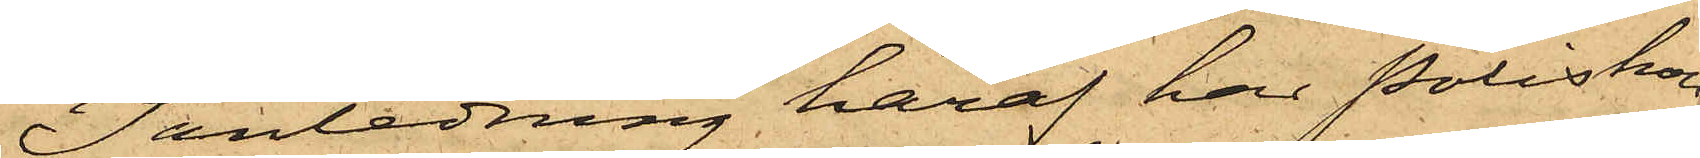I anledning häraf har Poliskam¬
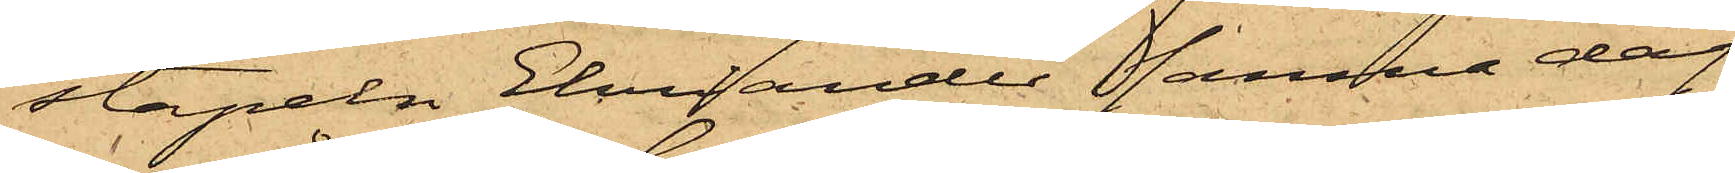stapeln Ehriander samma dag
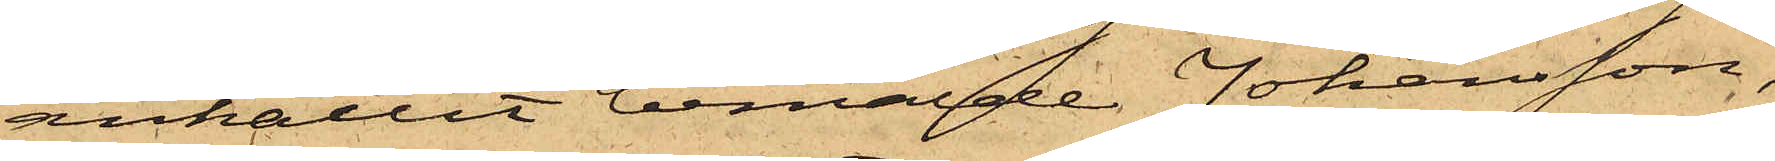anhållit bemälde Johansson,
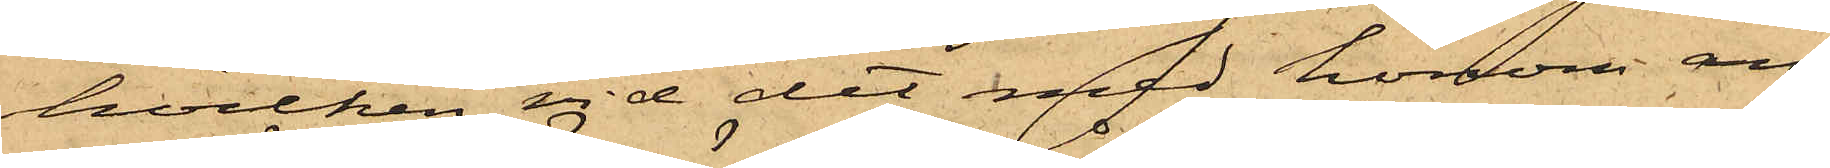hvilken vid det med honom an¬
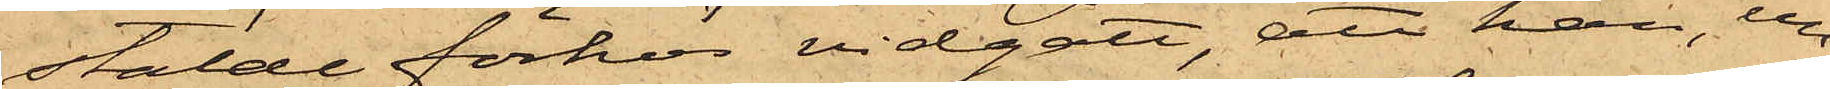stälde förhör vidgått att han, un¬
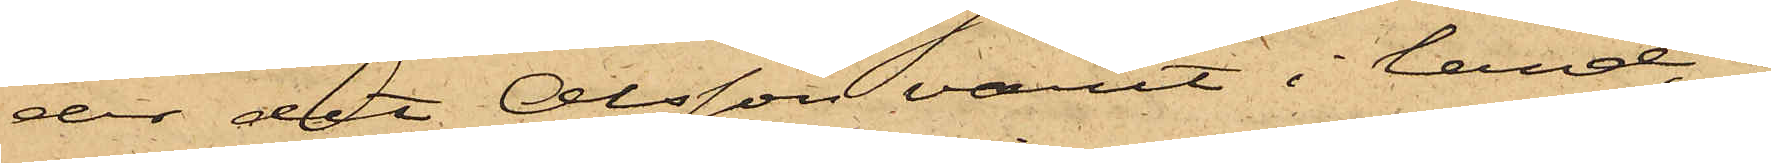der det Olsson varit i land, i
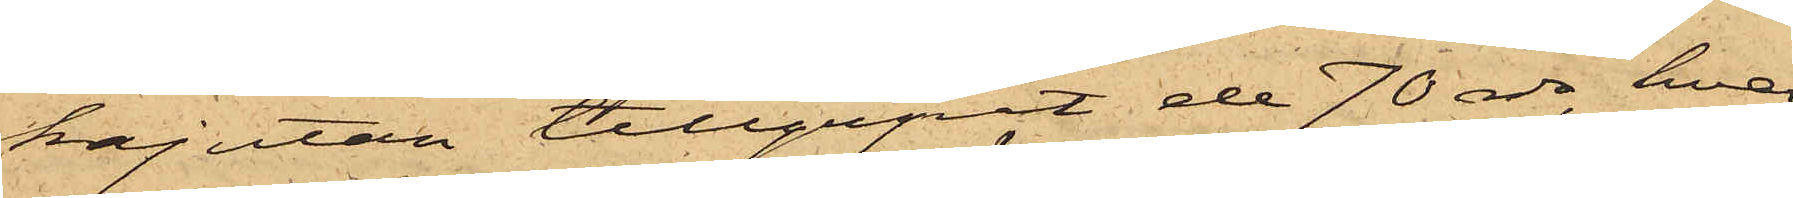kajutan tillgripit de 70 rdr, hvar¬
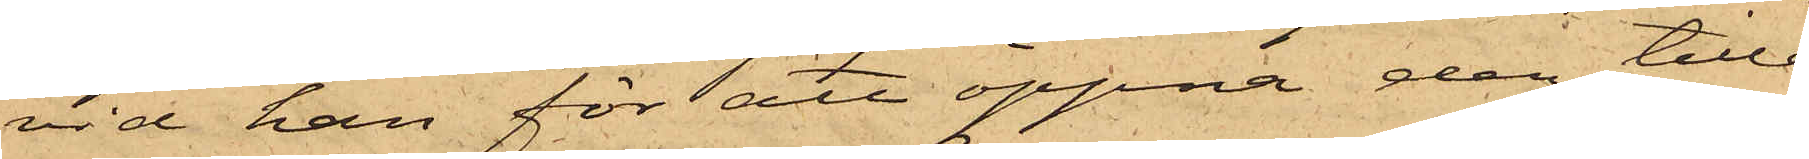vid han för att öppna den tillå¬
